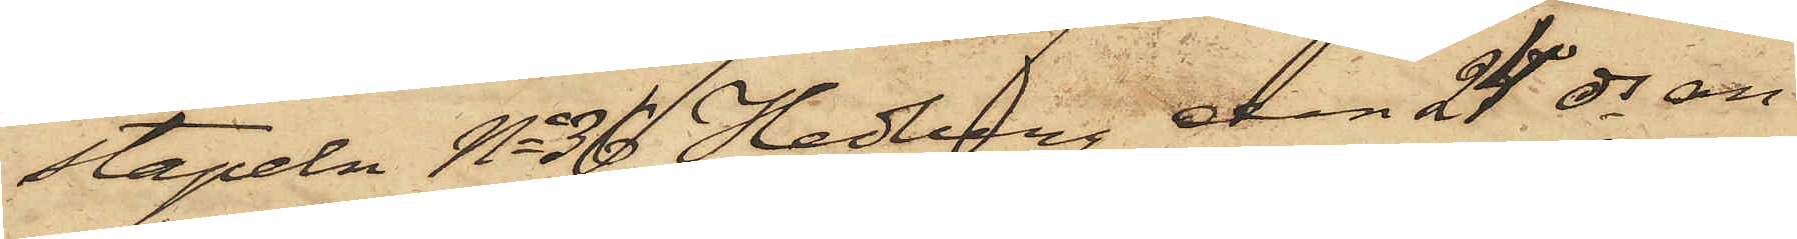stapeln No 36 Hedberg den 24 ds an¬
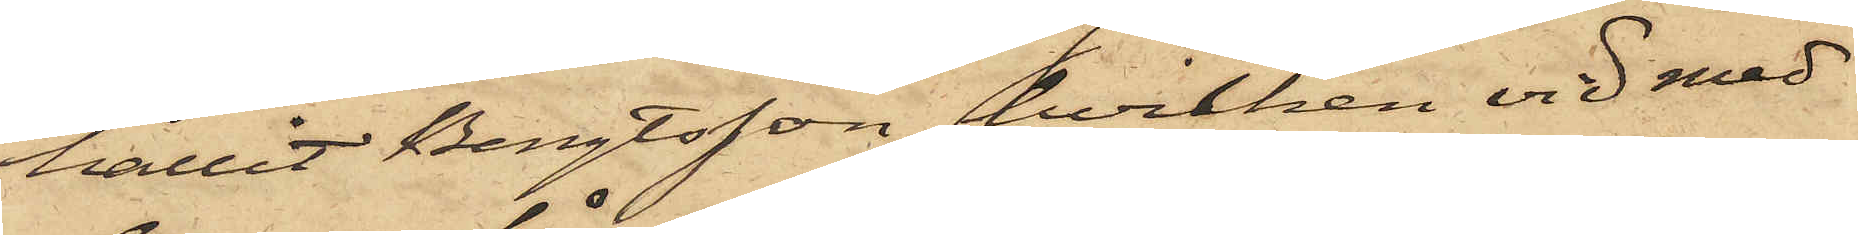hållit Bengtsson, hvilken vid med
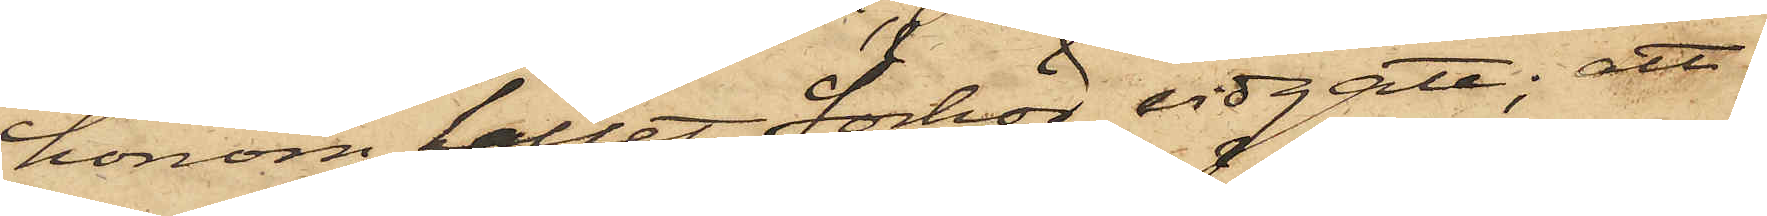honom hållet förhör vidgått; att
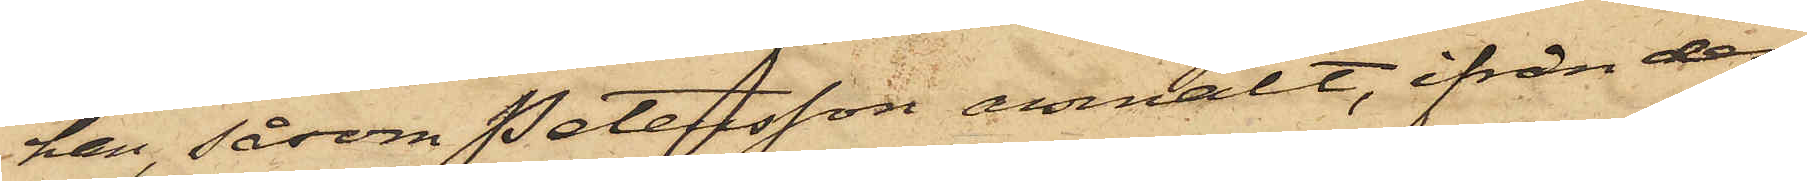han, såsom Petersson anmält, ifrån den¬
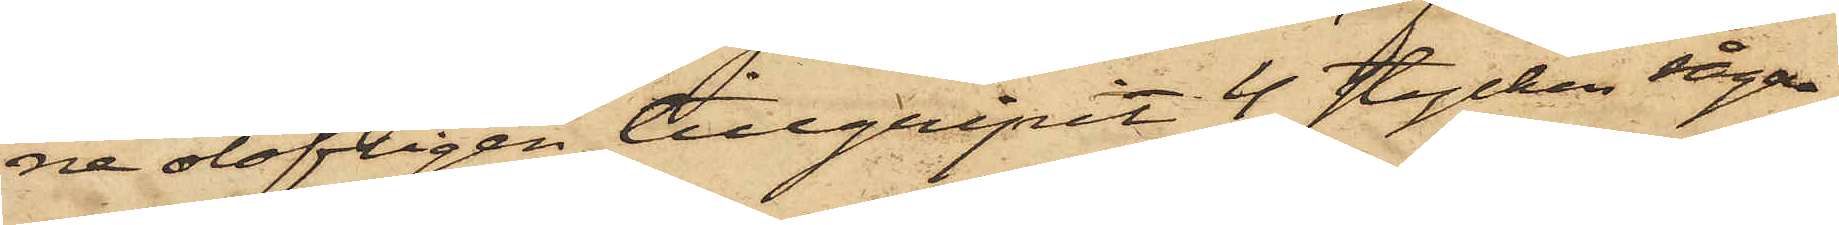ne olofligen tillgripit 4 stycken sågar,
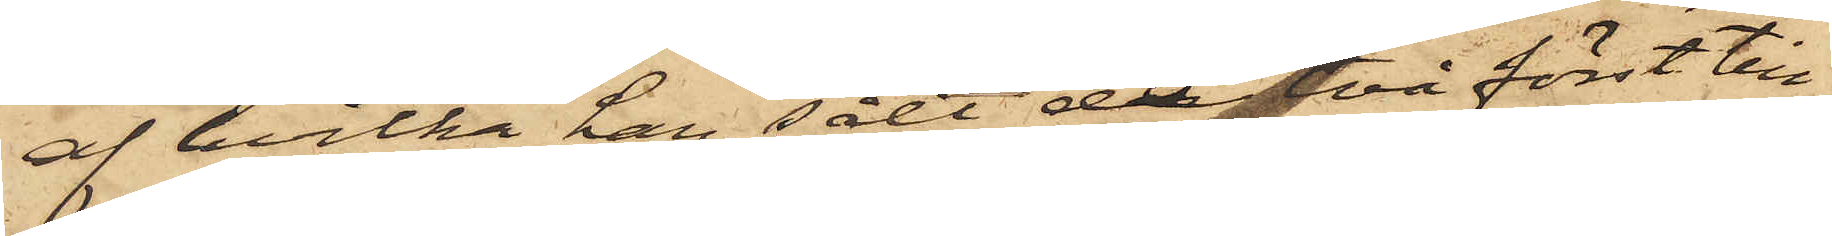af hvilka han sålt de två först till¬
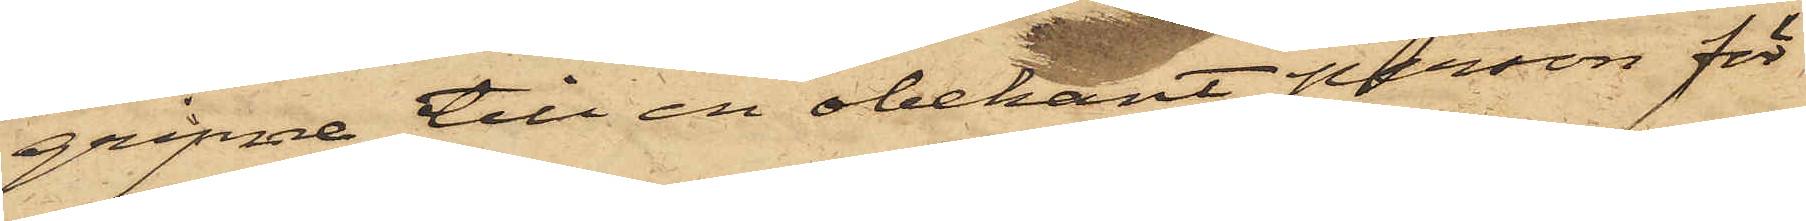gripne till en obekant person för
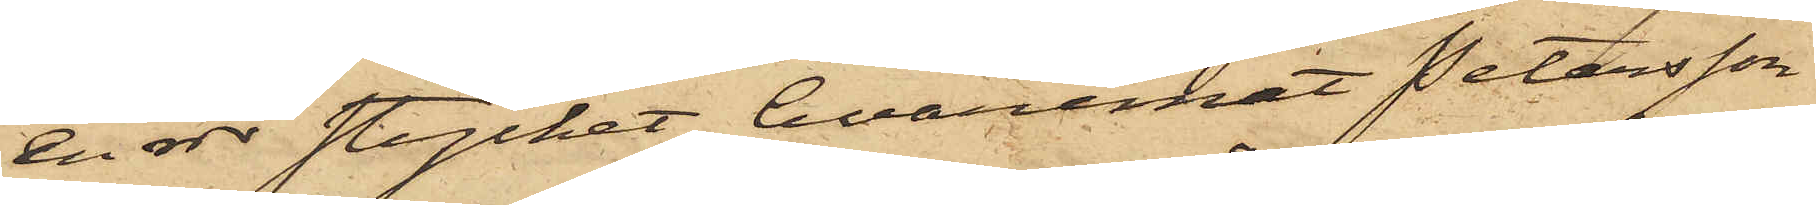en rdr stycket, hvaremot Petersson
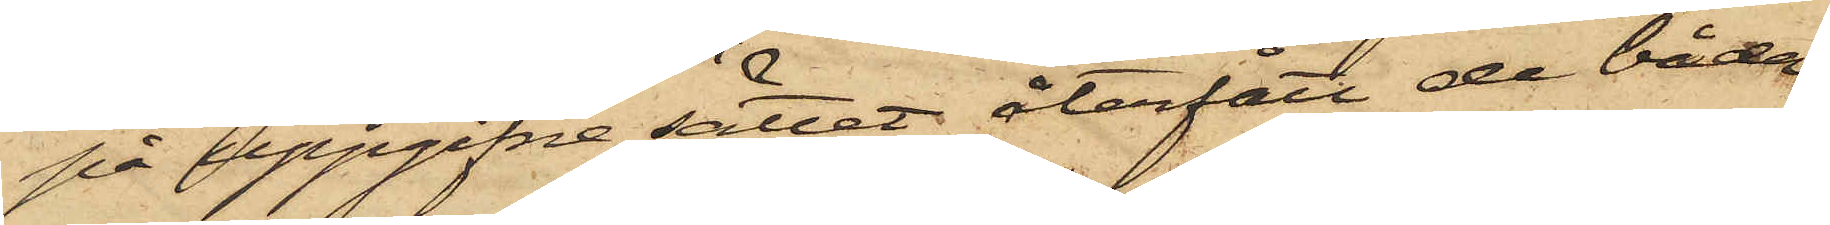på uppgifne sättet återfått de båda
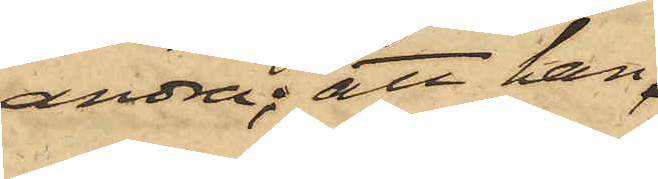andra; att han
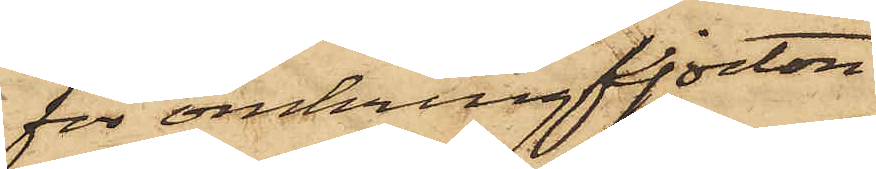för omkring fjorton
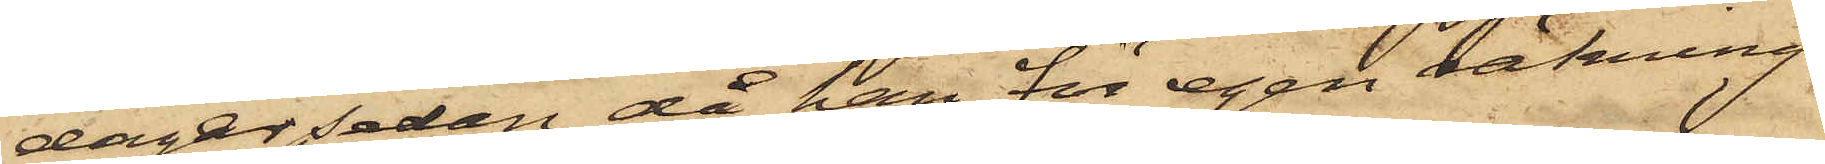dagar sedan, då han för egen räkning
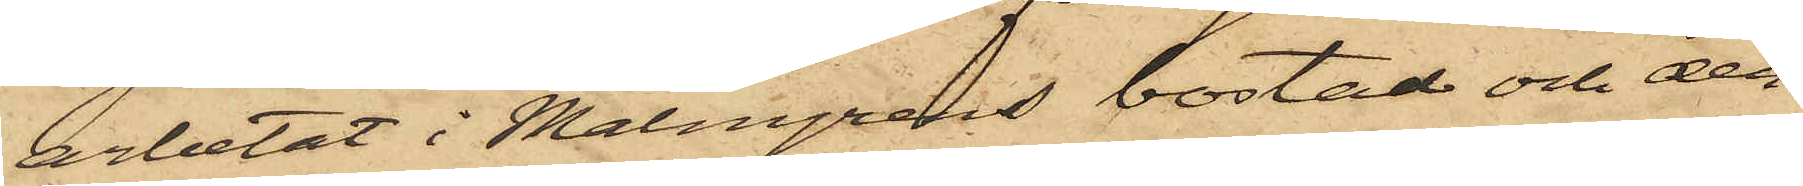arbetat i Malmgrens bostad och der¬
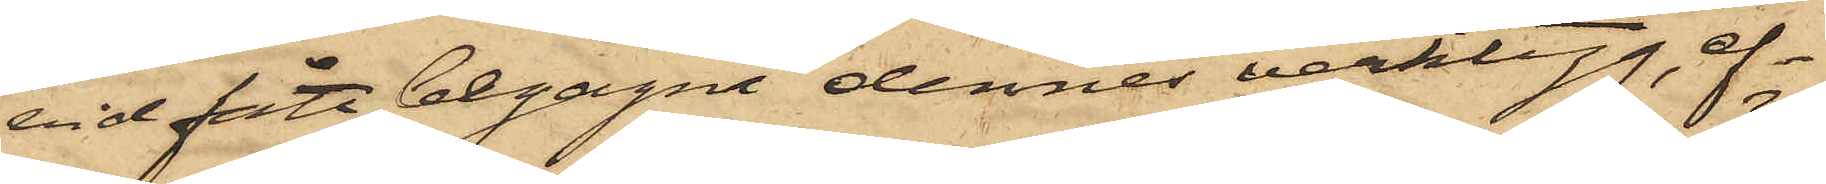vid fått begagna dennes verktyg, ef¬
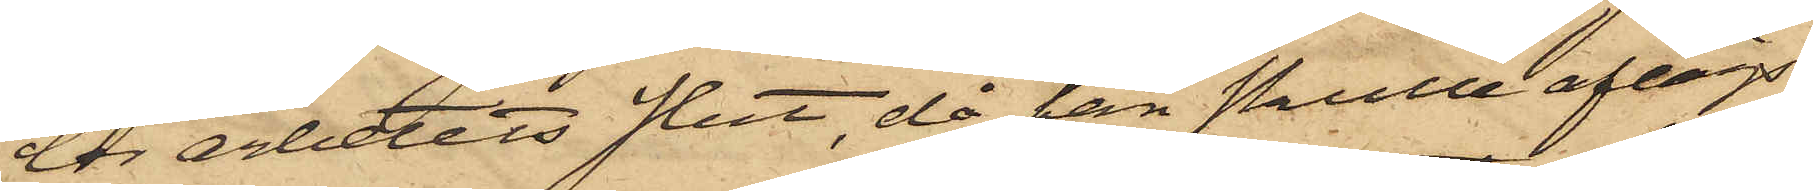ter arbetets slut, då han skulle aflägs¬
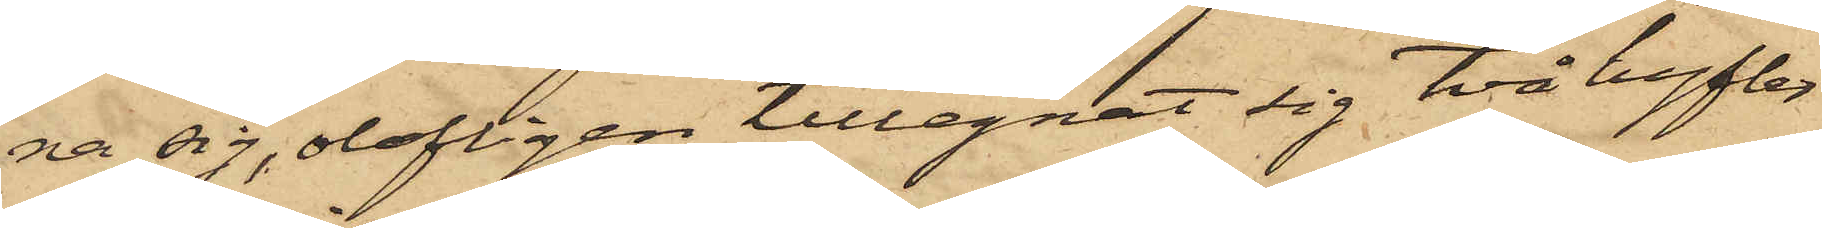na sig, olofligen tillegnat sig två hyfler
